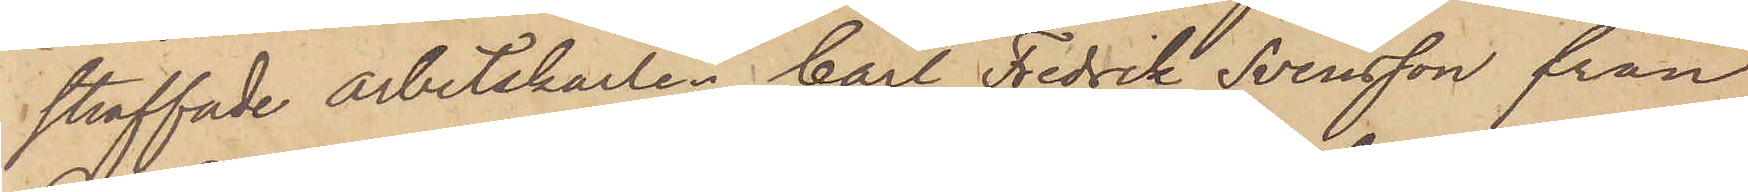straffade arbetskarlen Carl Fredrik Svensson från
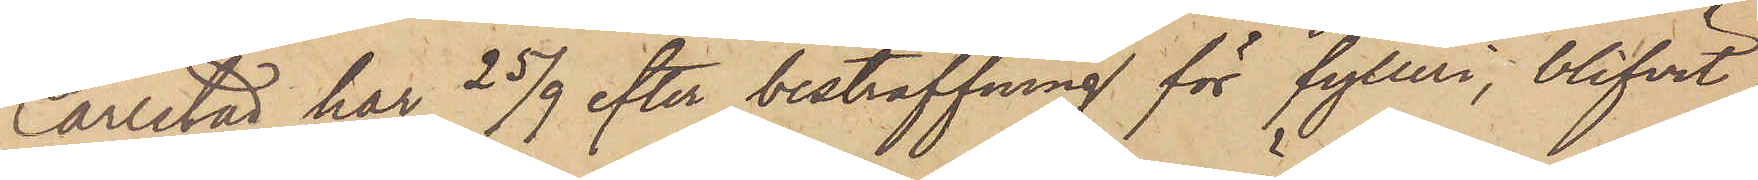Carlstad har 25/9 efter bestraffning för fylleri, blifvit
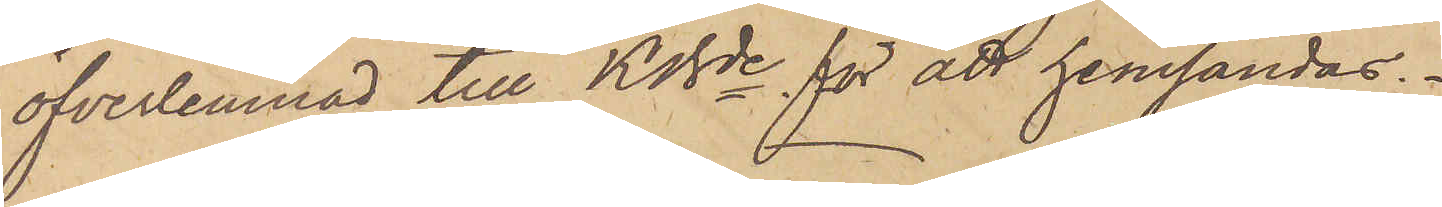öfverlemnad till KBde för att hemsändas.
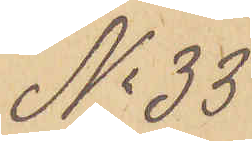No 33
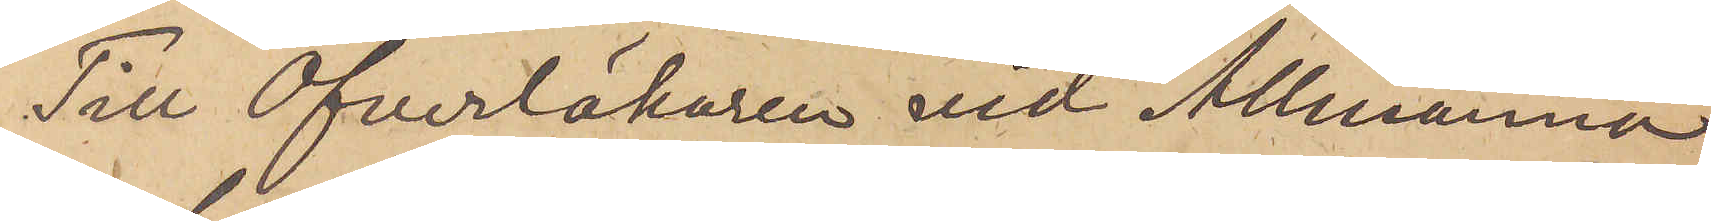Till Öfverläkaren vid Allmänna
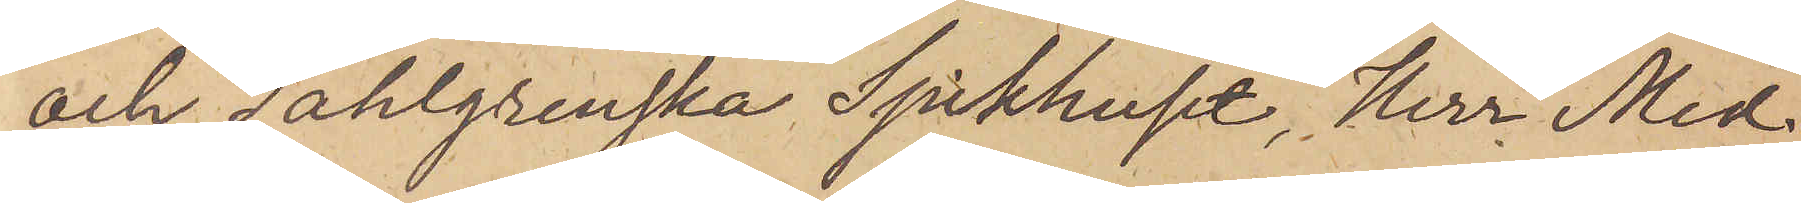och Sahlgrenska Sjukhuset, Herr Med
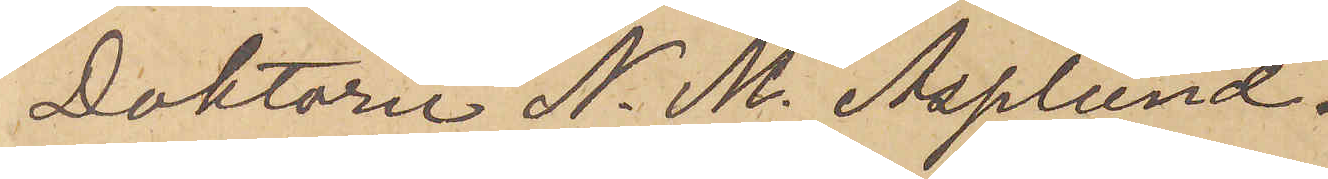Doktorn N. M. Asplund.
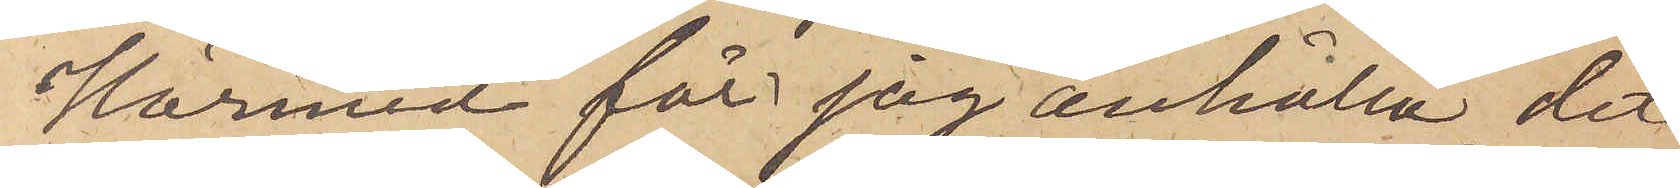Härmed får jag anhålla, det
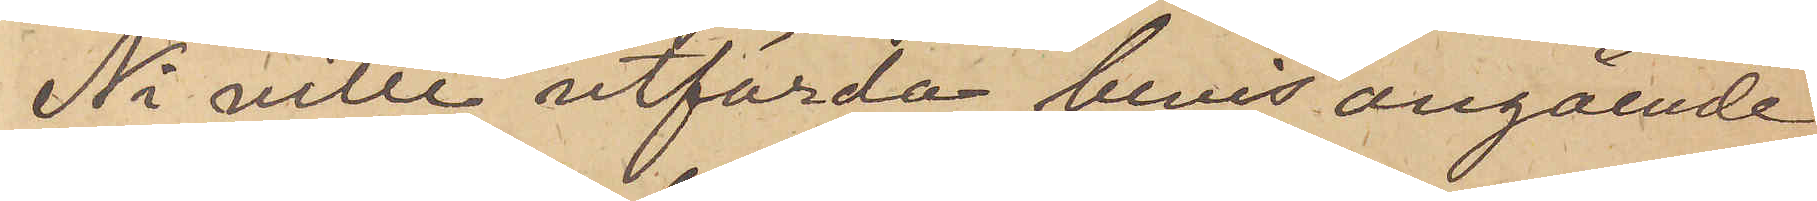Ni ville utfärda bevis angående
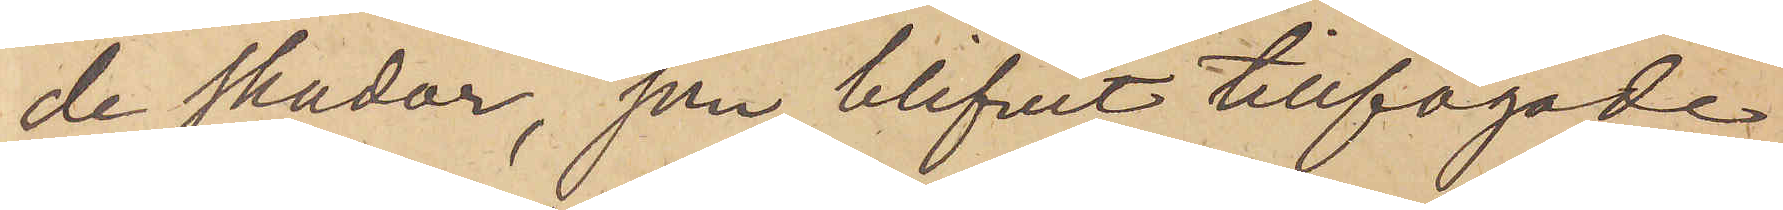de skador, som blifvit tillfogade
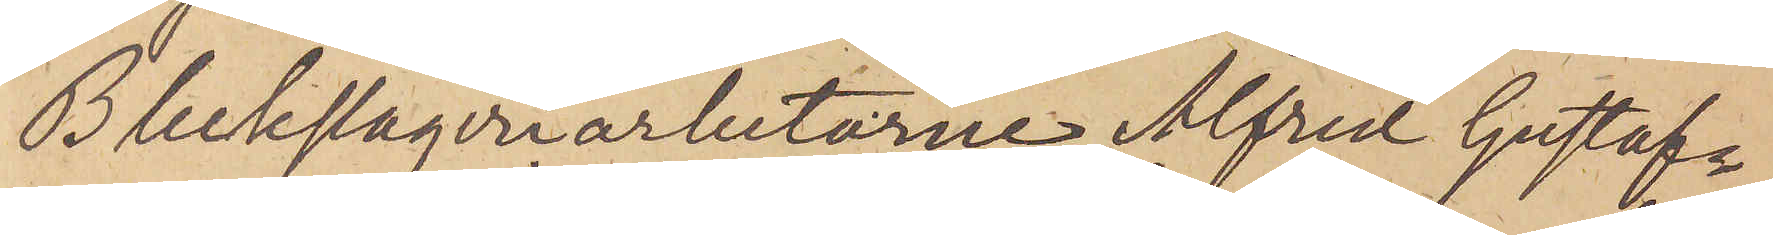Bleckslageriarbetarne Alfred Gustafs¬
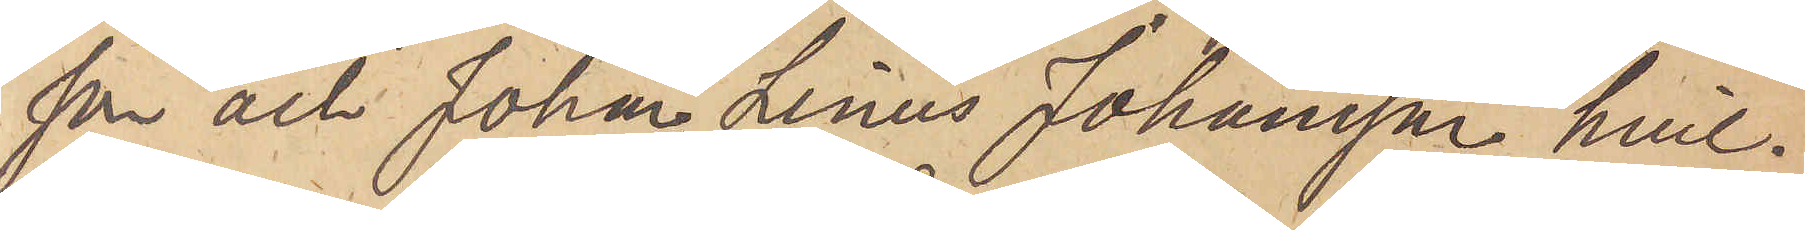son och Johan Linus Johansson, hvil¬
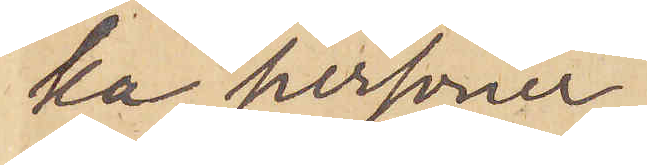ka personer
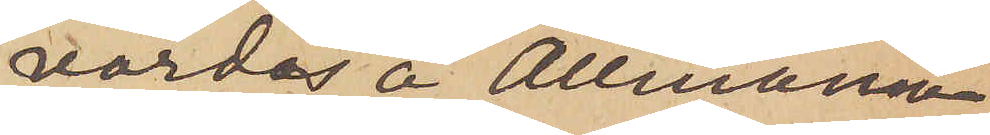vårdas å Allmänna
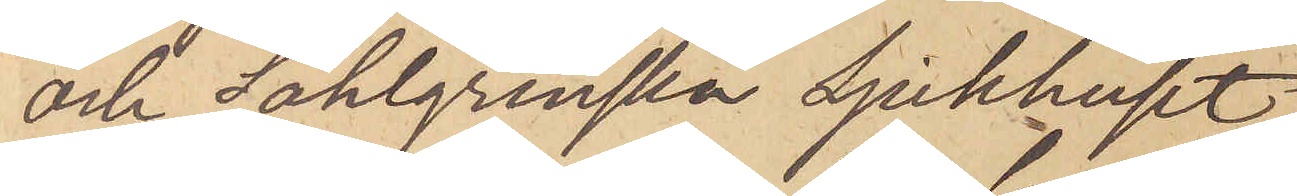och Sahlgrenska sjukhuset.
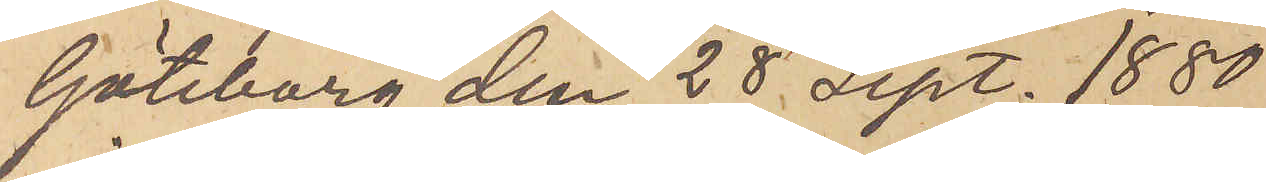Göteborg den 28 Sept. 1880.
